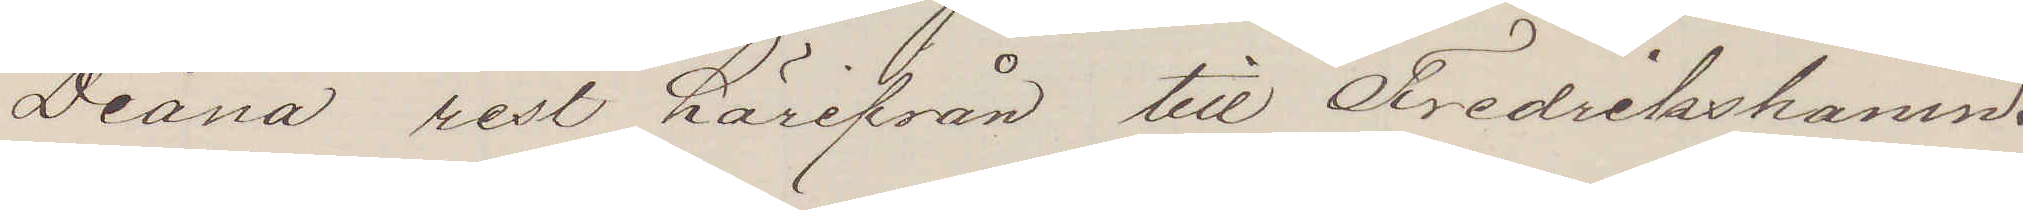Diana rest härifrån till Fredrikshamn.
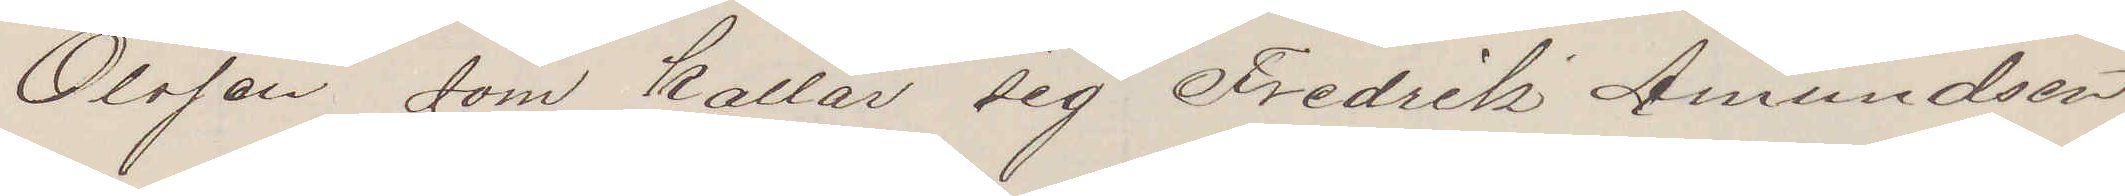Olsson som kallar sig Fredrik Amundsen
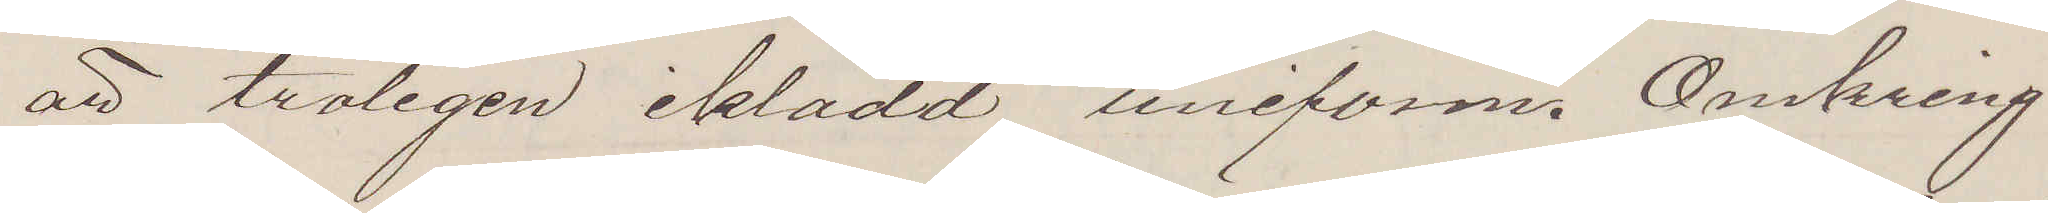är troligen klädd uniform. Omkring
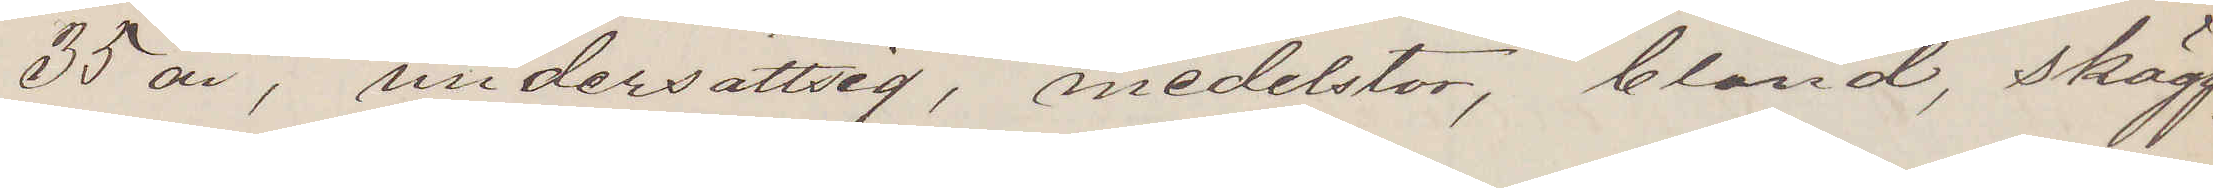35 år, undersättsig, medelstor, blånd, skägg¬
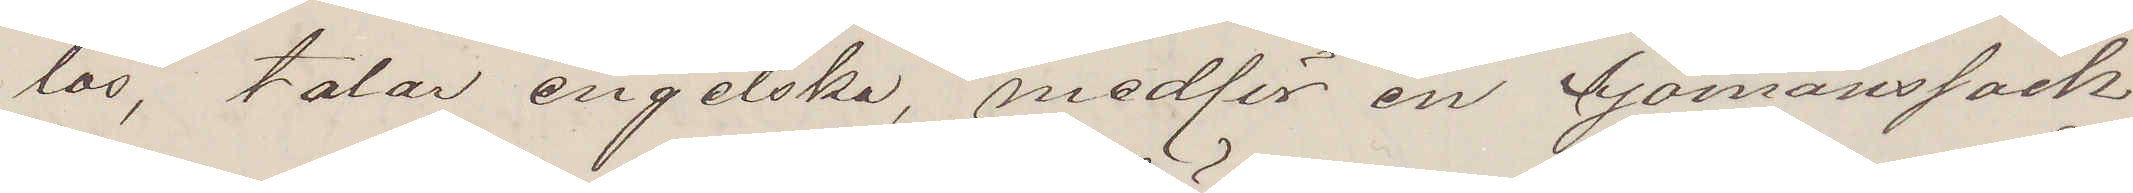lös, talar engelska, medför en Sjömanssäck
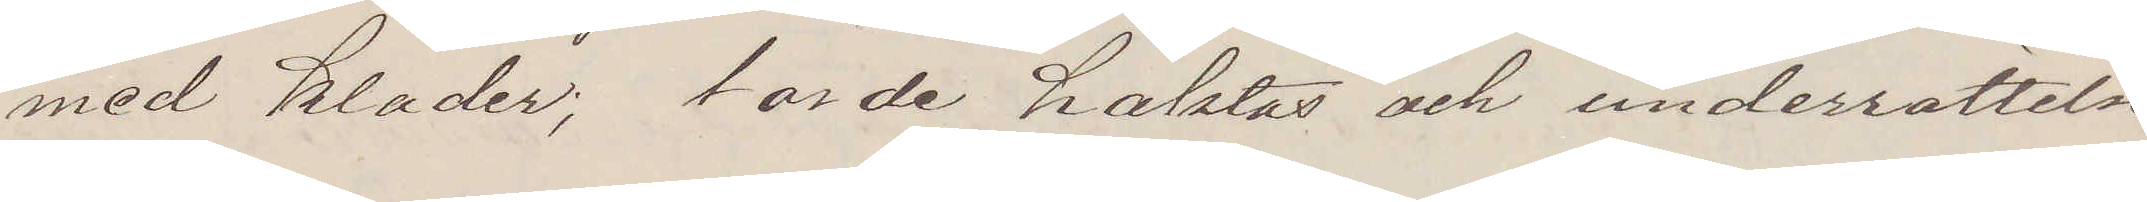med kläder; torde häktas och underrättelse
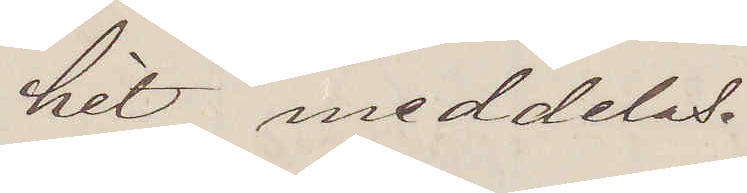hit meddelas.
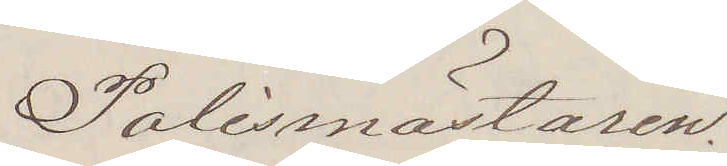Polismästaren.
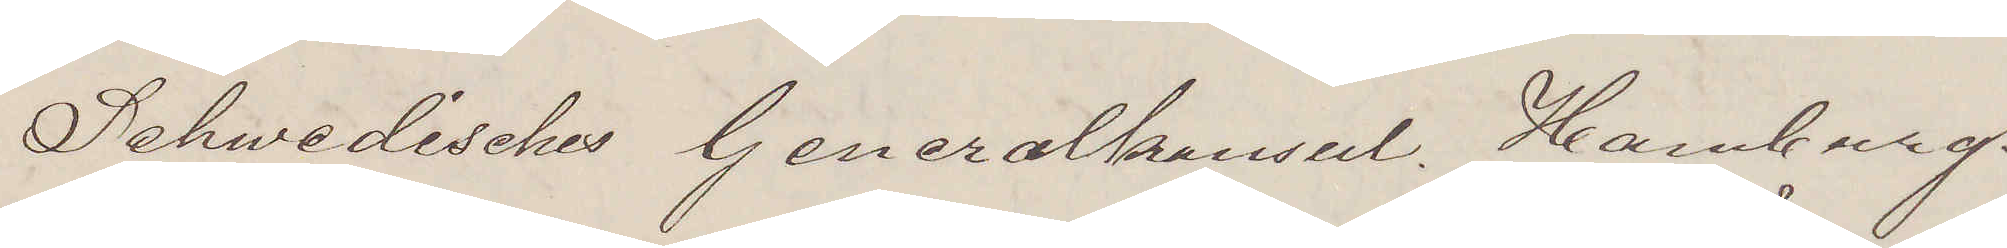Schwedisches Generalkonsul. Hamburg.
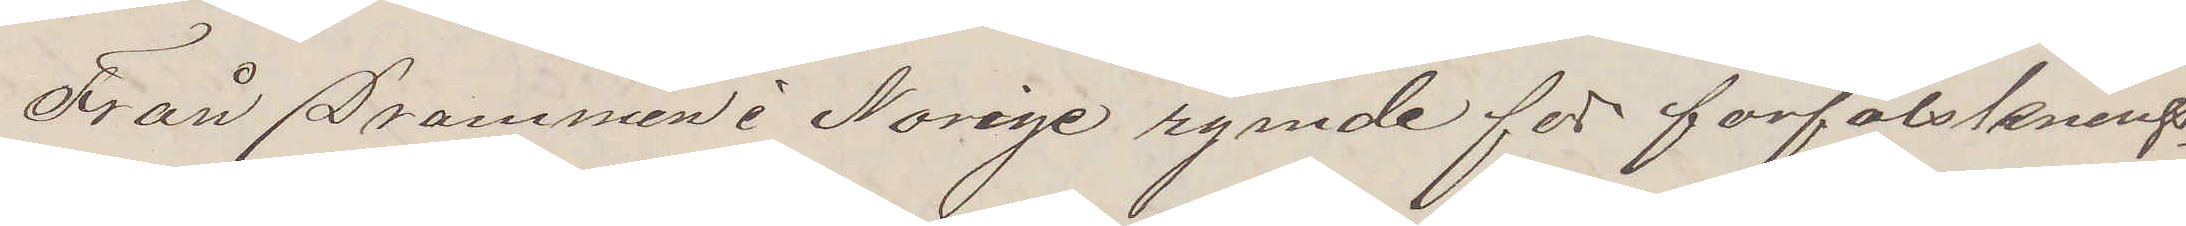Från Drammen i Norige rymde för förfalsknings¬
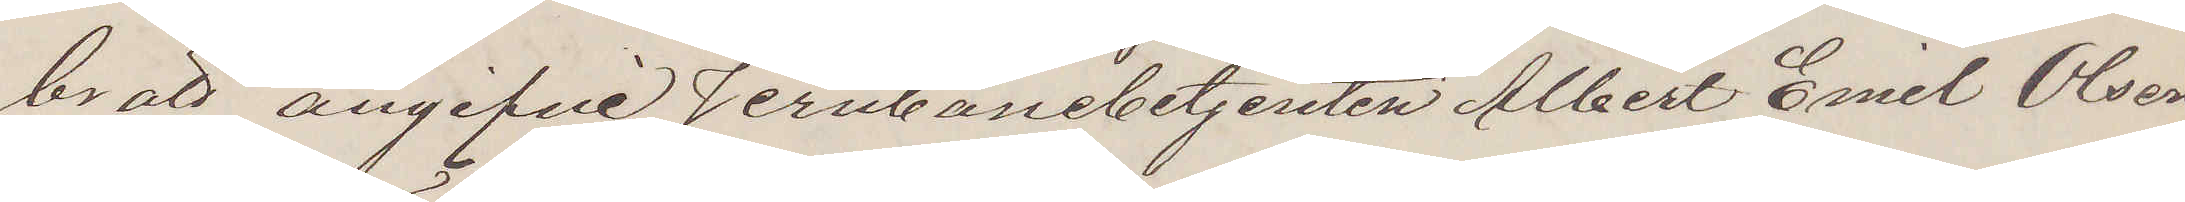brott angifne Jernbanebetjenten Albert Emil Olsen,
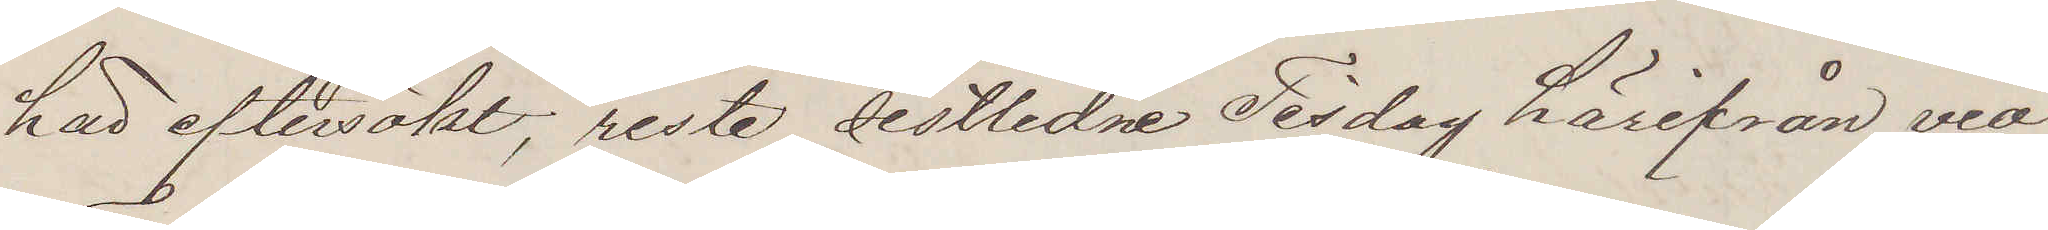här eftersökt; reste sistlidne Tisdag härifrån via
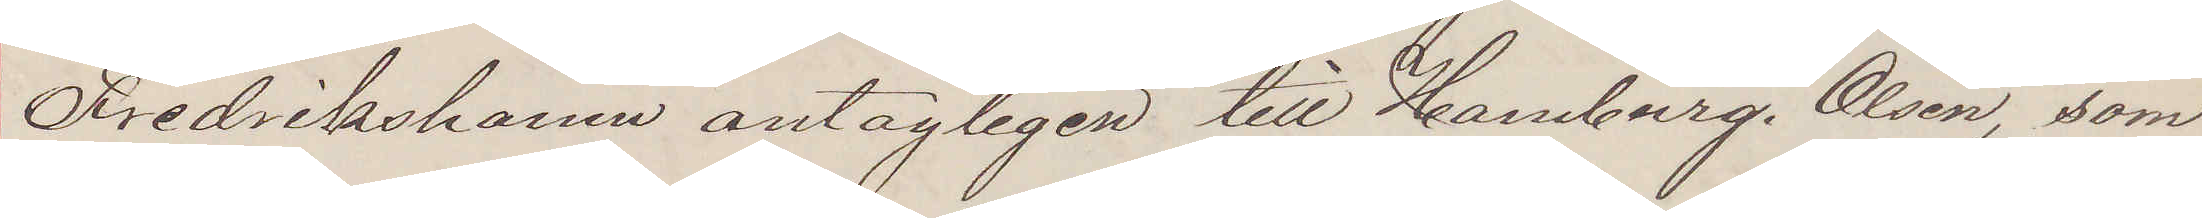Fredrikshamn antagligen till Hamburg. Olsen, som
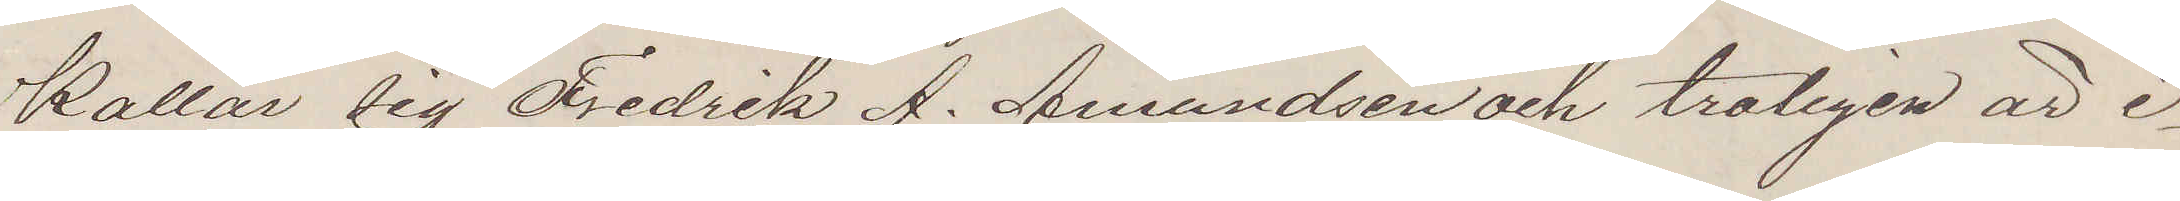kallar sig Fredrik A. Amundsen och troligen är i¬
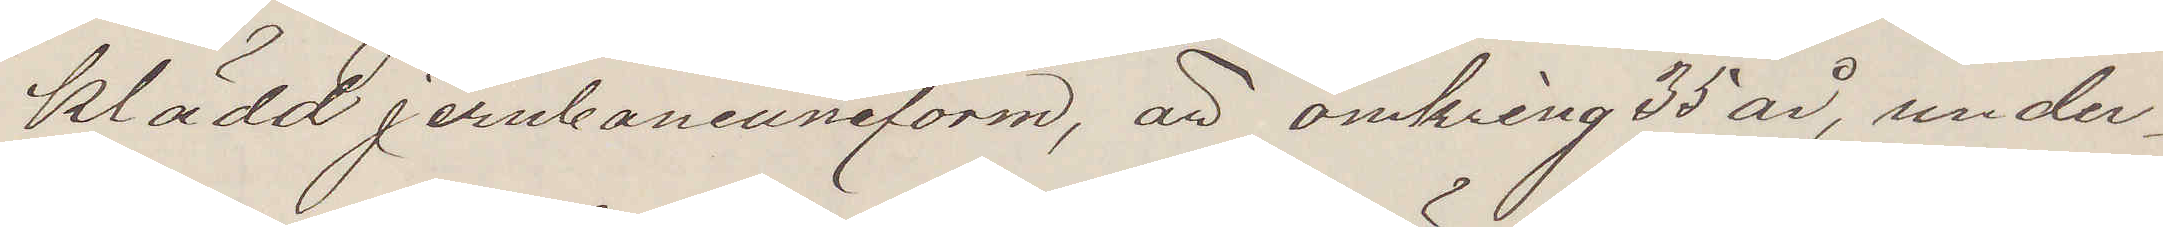klädd jernbaneuniform, är omkring 35 år, under¬
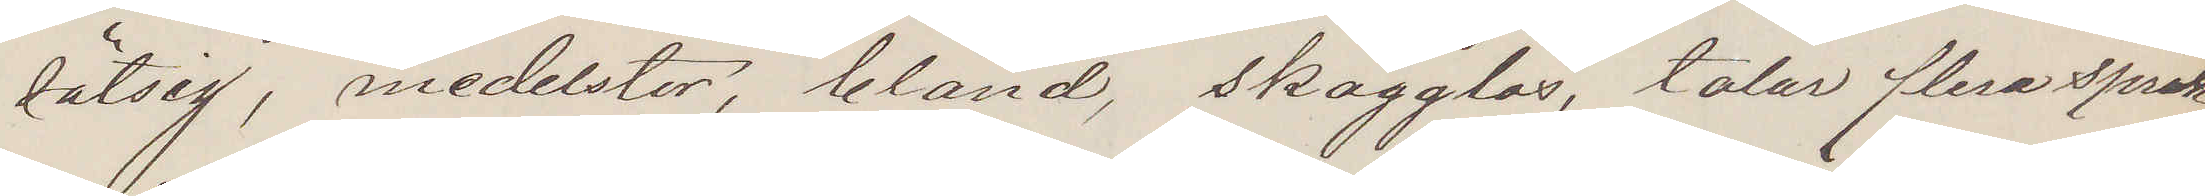sätsig, medelstor, blånd, skägglös, talar flera språk,
